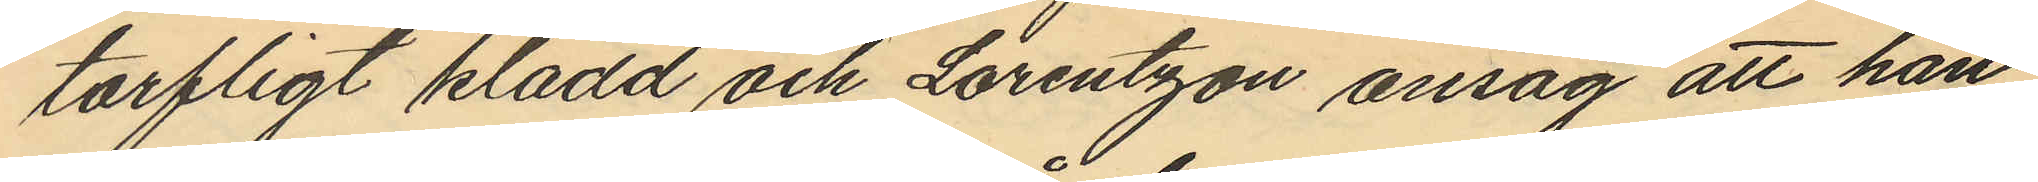torfligt klädd och Lorentzon ansåg att han
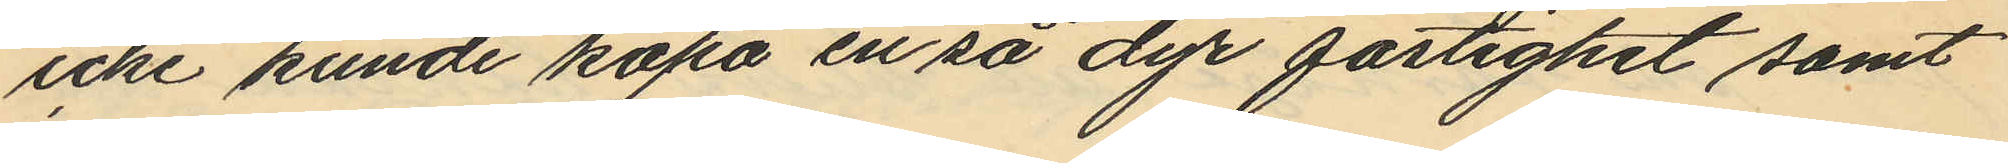icke kunde köpa en så dyr fastighet samt
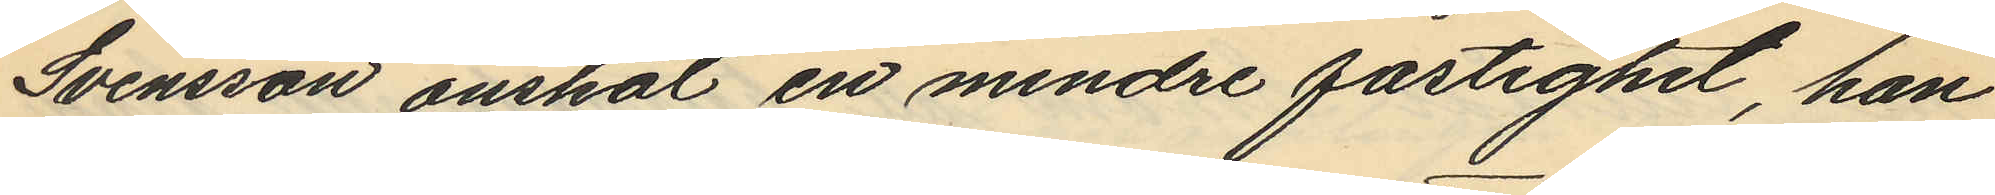Svensson önskat en mindre fastighet, han
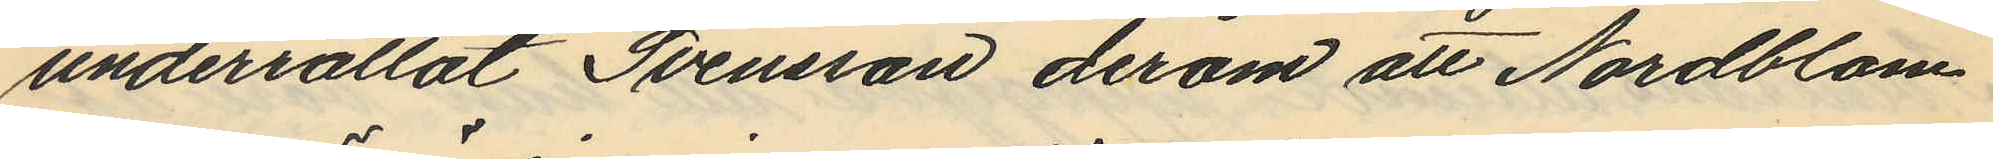underrättat Svensson derom att Nordblom
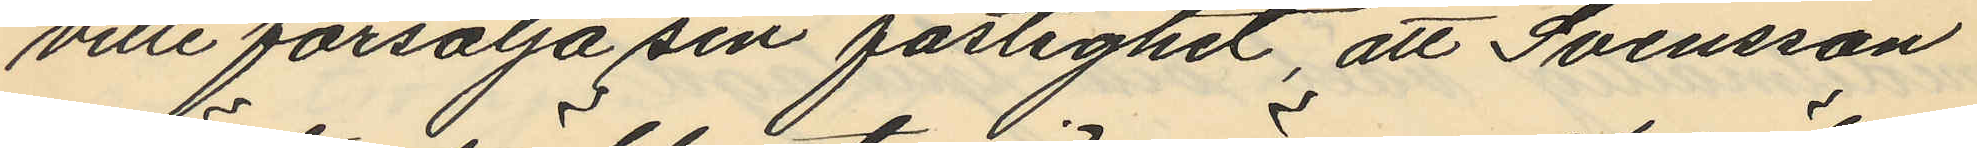ville försälja sin fastighet, att Svensson
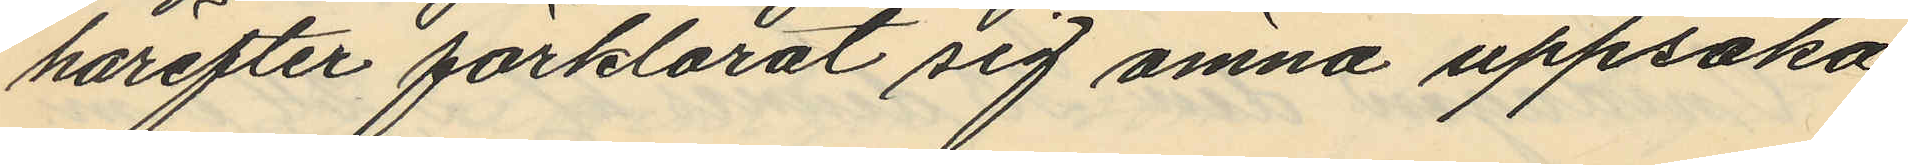härefter förklarat sig ämna uppsöka
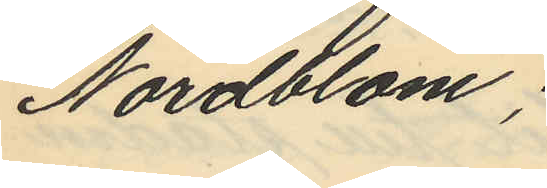Nordblom;
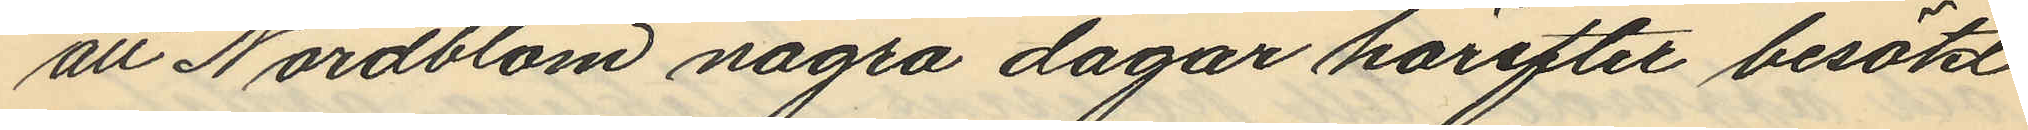att Nordblom några dagar härefter besökt
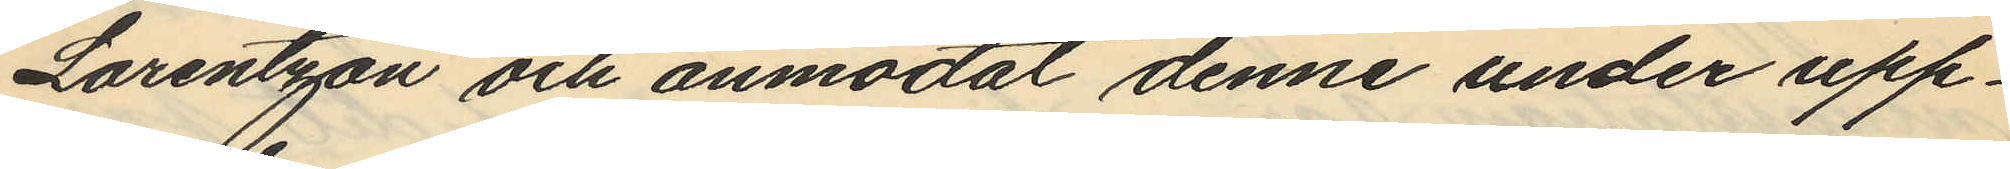Lorentzon och anmodat denne under upp¬
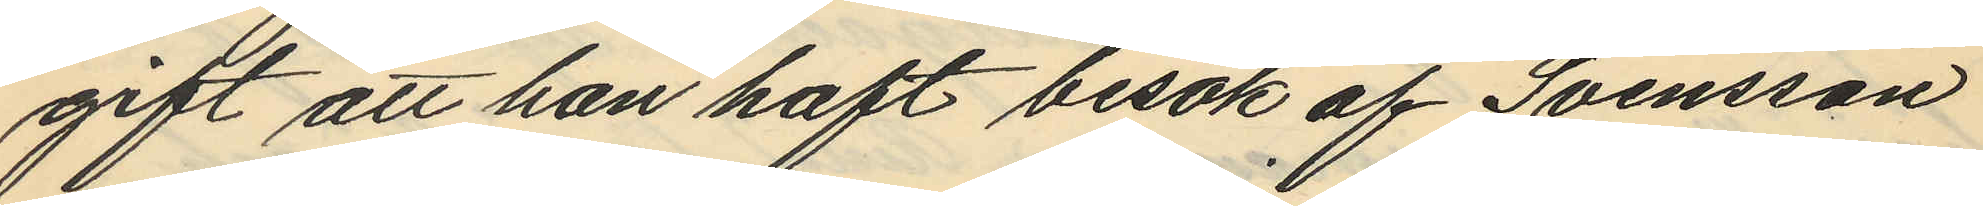gift att han haft besök af Svensson
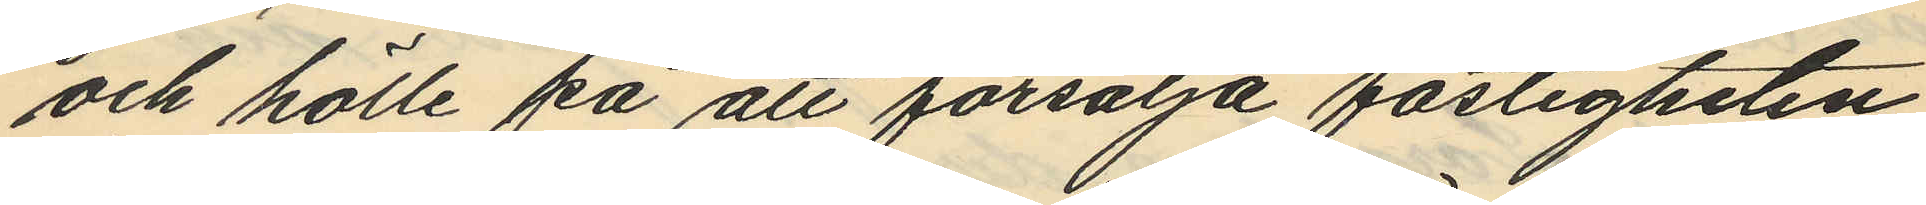och hölle på att försälja fastigheten
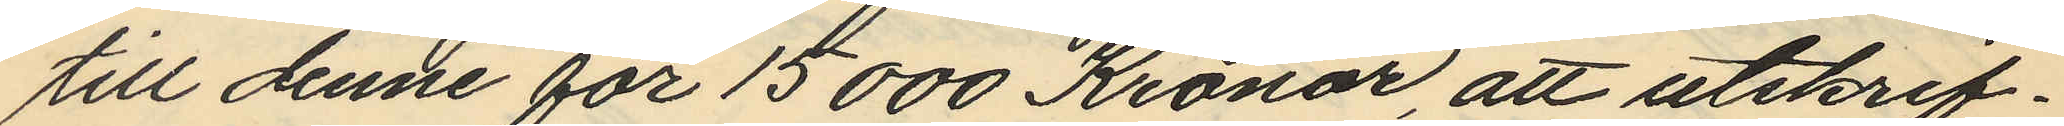till denne för 15000 Kronor, att utskrif¬
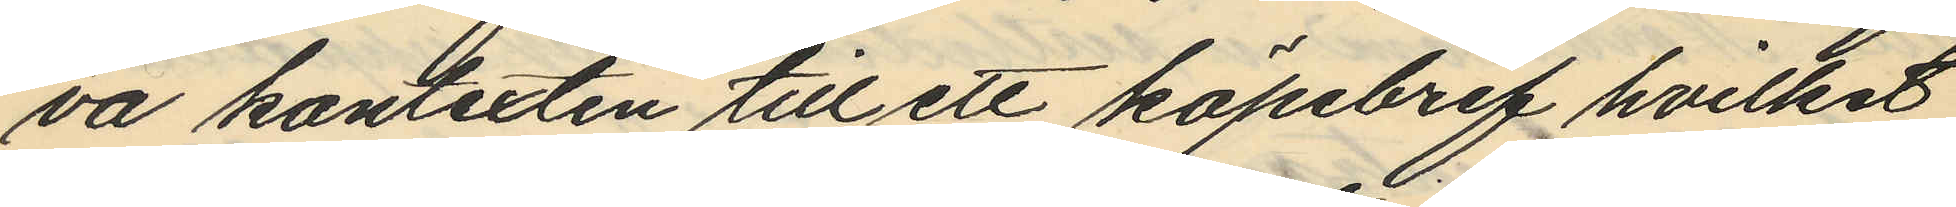va kontexten till ett köpebref hvilket
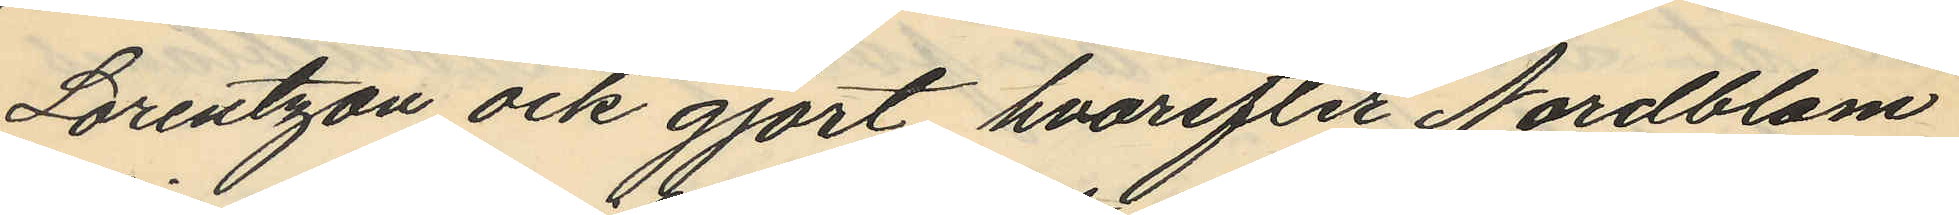Lorentzon ock gjort hvarefter Nordblom
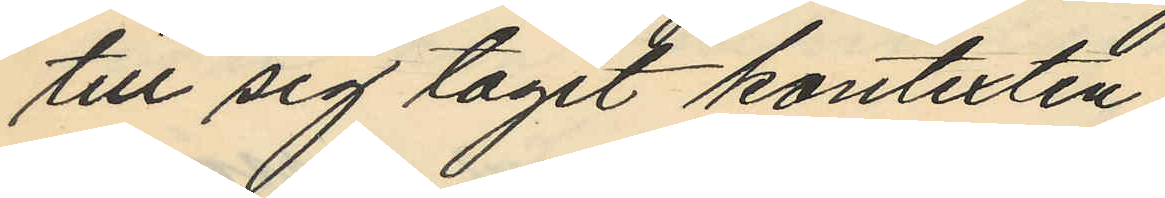till sig tagit kontexten;
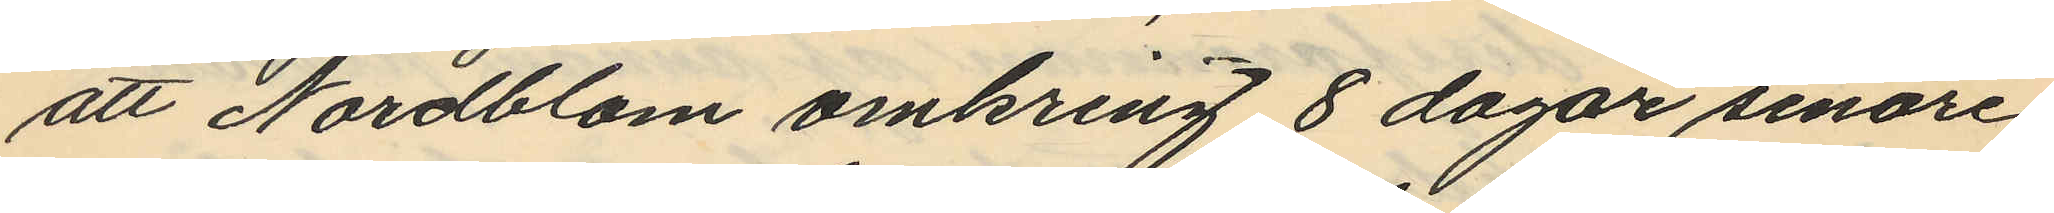att Nordblom omkring 8 dagar senare
